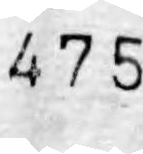475
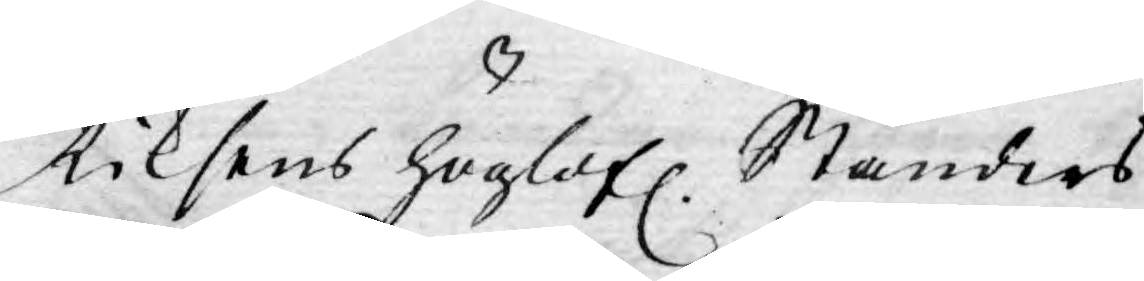Riksens höglofl. Ständers
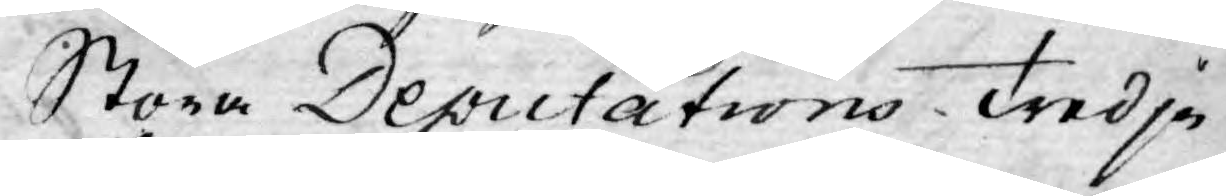Stora Deputations Tredje
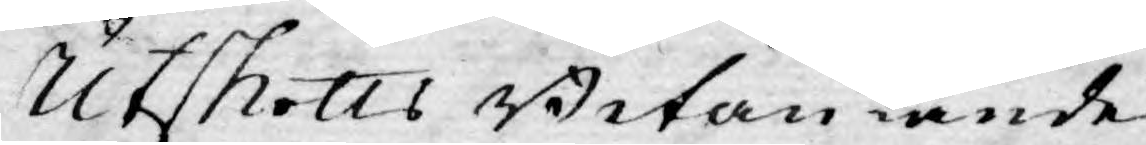Utskotts Betänkande
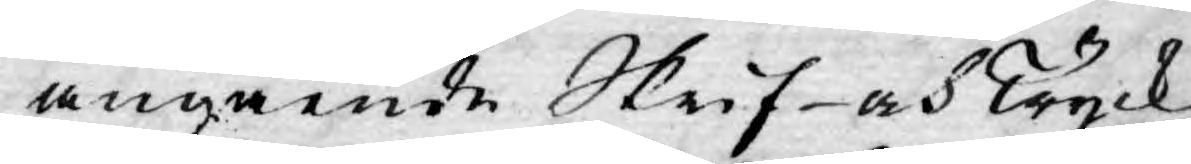angående Skrif- och Tryck¬
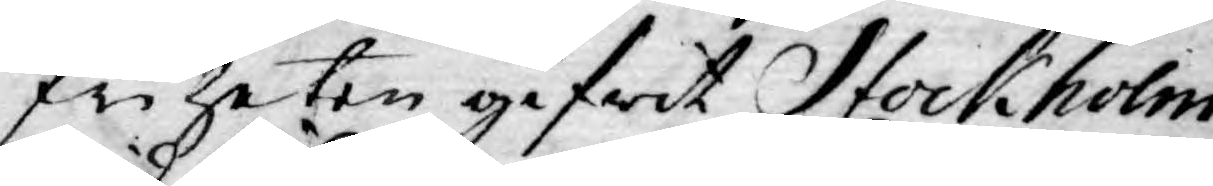friheten gifwit Stockholm
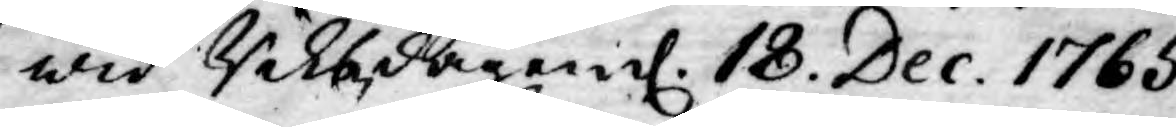wid Riksdagen d. 18. Dec. 1765.
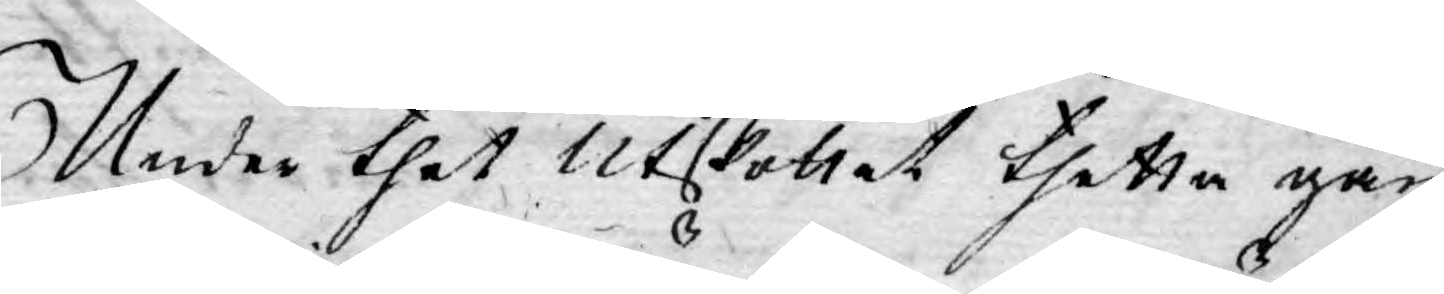Under thet Utskottet thetta gan¬
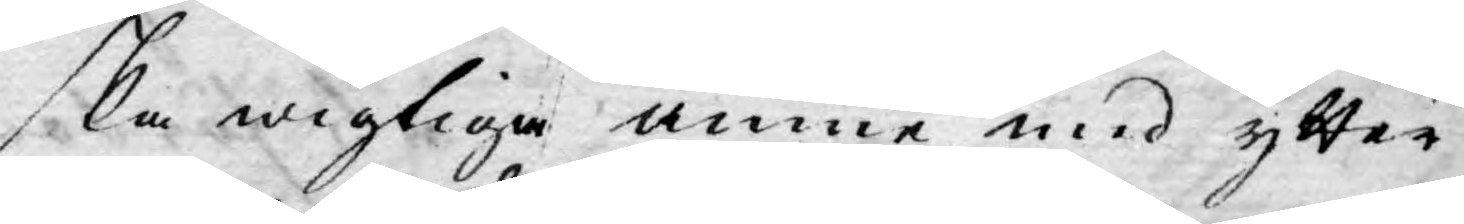ska wigtiga ämne med ytter¬
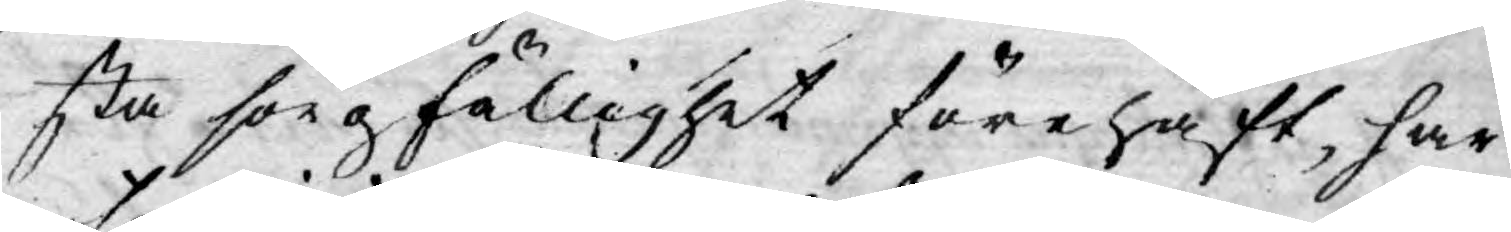sta sorgfällighet förehaft, har
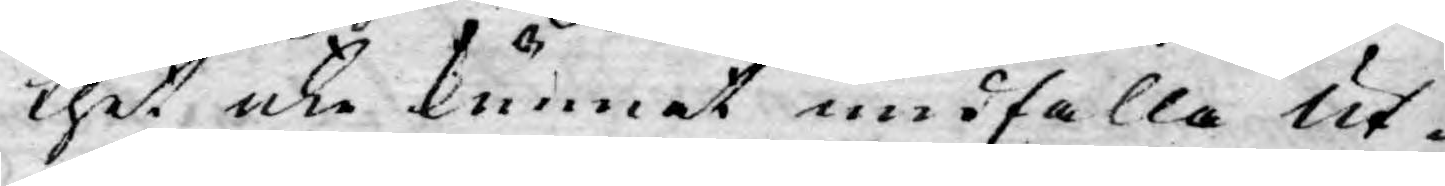thet, icke kunnat undfalla Ut¬
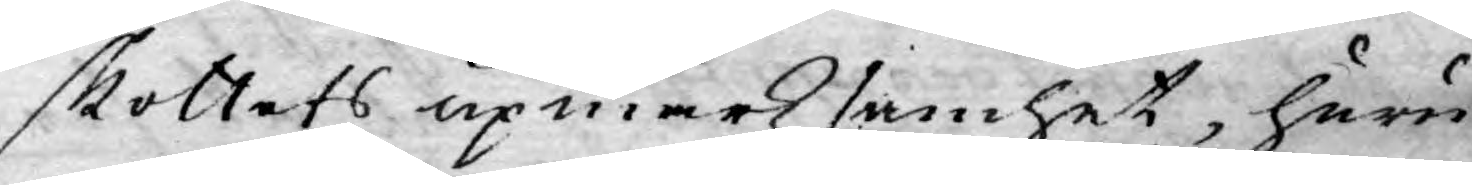skottets upmärksamhet, huru
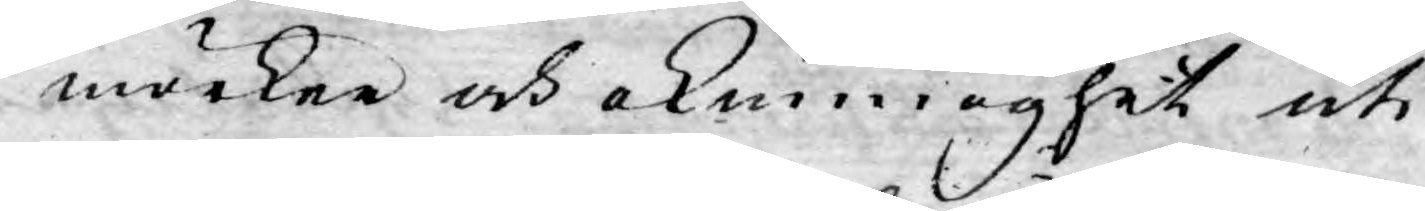mörker och okunnoghet uti
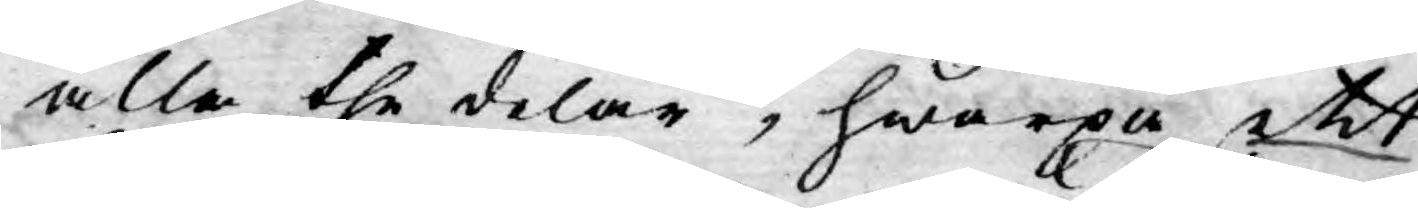alla the delar, hwarpå ett
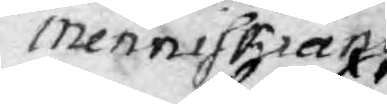menniskians
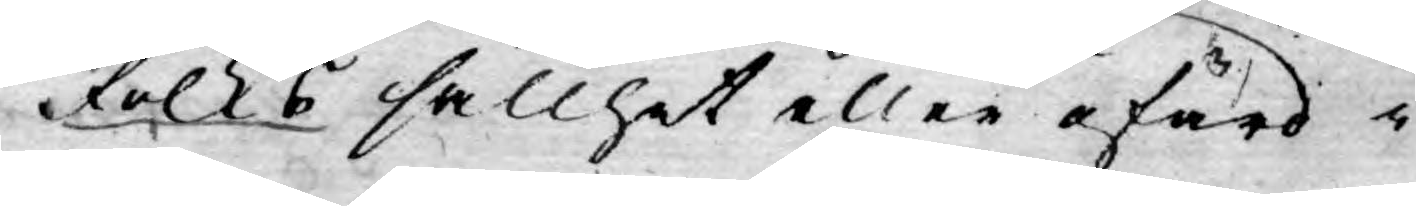Folks sällhet eller ofärd i
